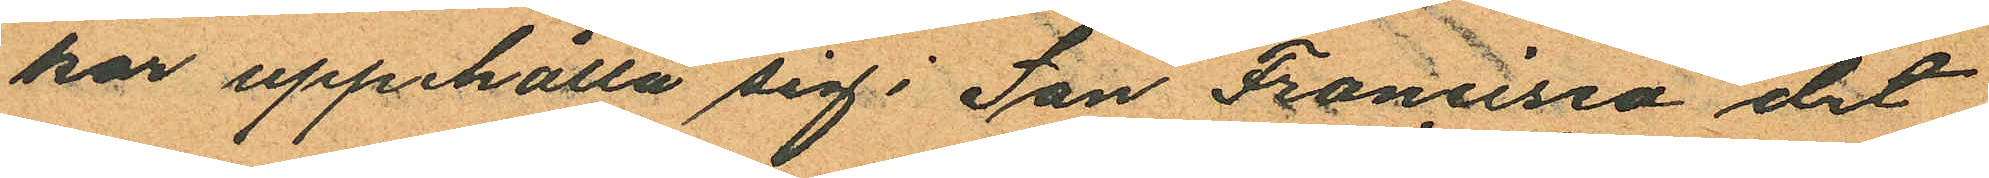kar uppehålla sig i San Francisco det
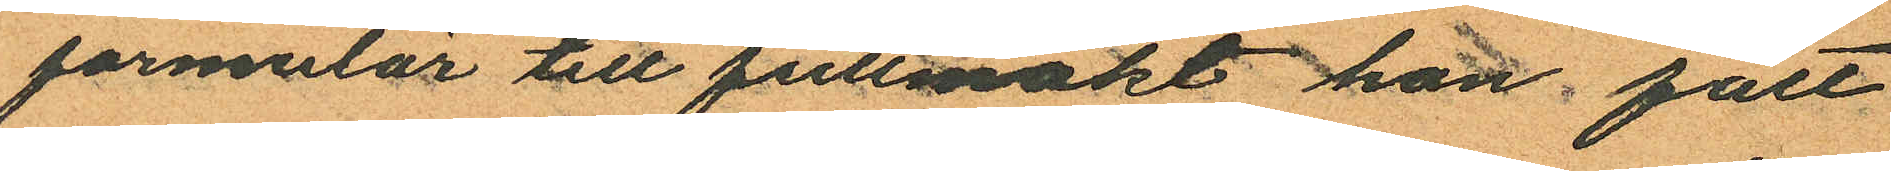formulär till fullmakt hon fått
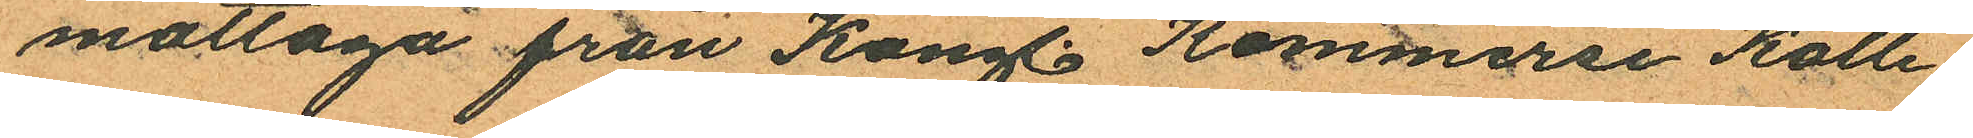mottaga från Kongl. Kommerse Kolle¬
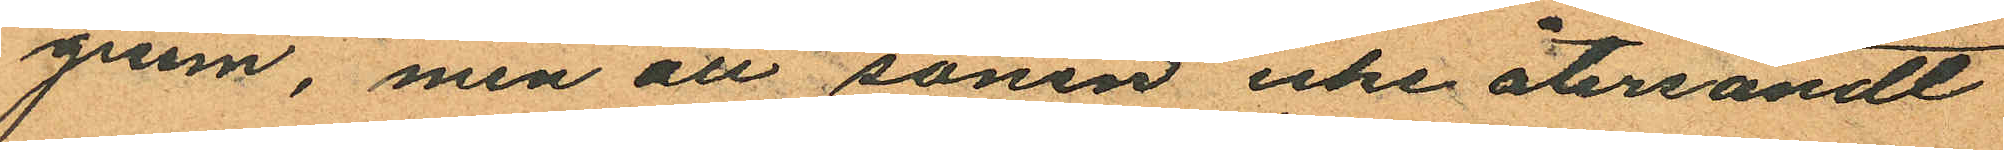gium, men att sonen icke återsändt
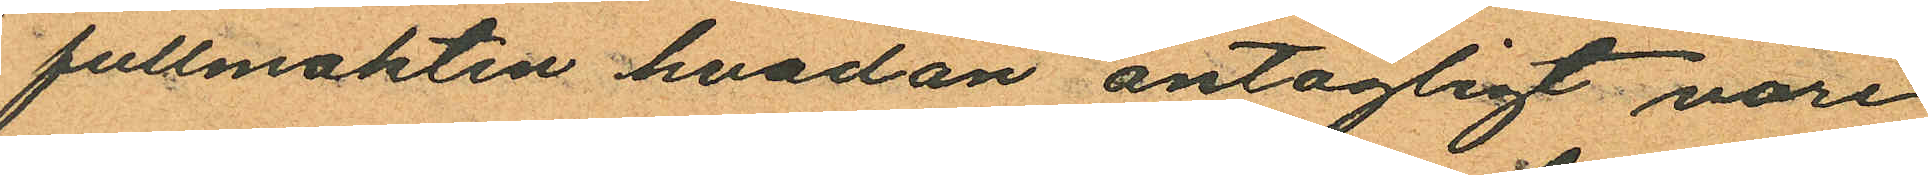fullmakten hvadan antagligt vore
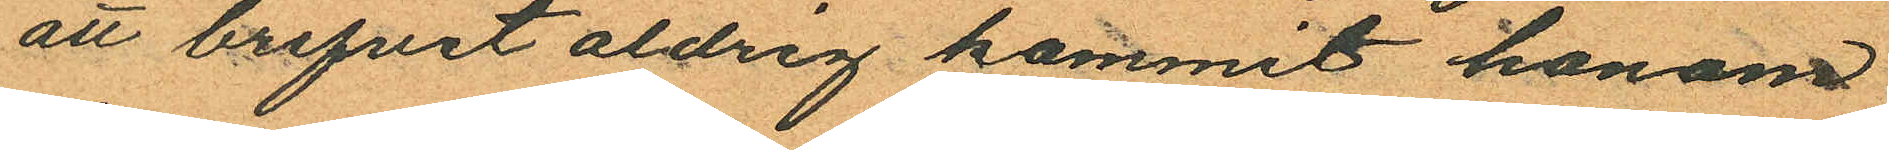att brefvet aldrig kommit honom
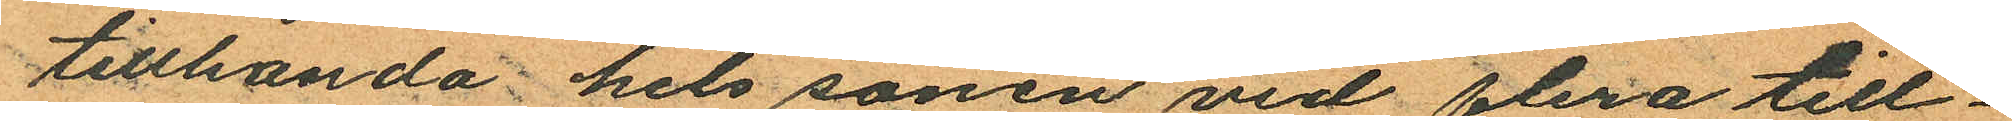tillhanda hels sonen vid flera till¬
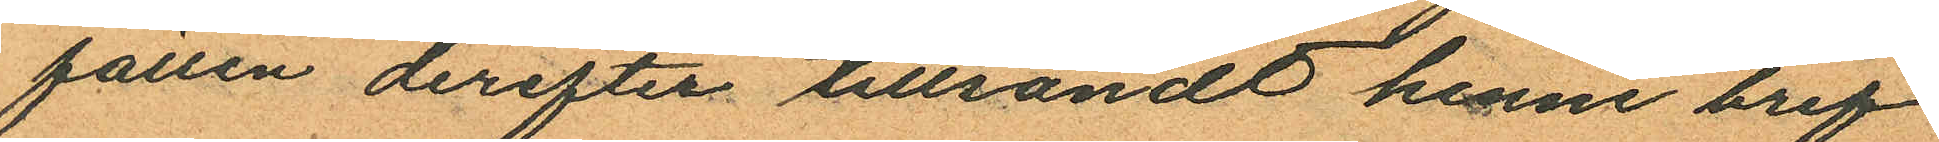fällen derefter tillsändt henne bref
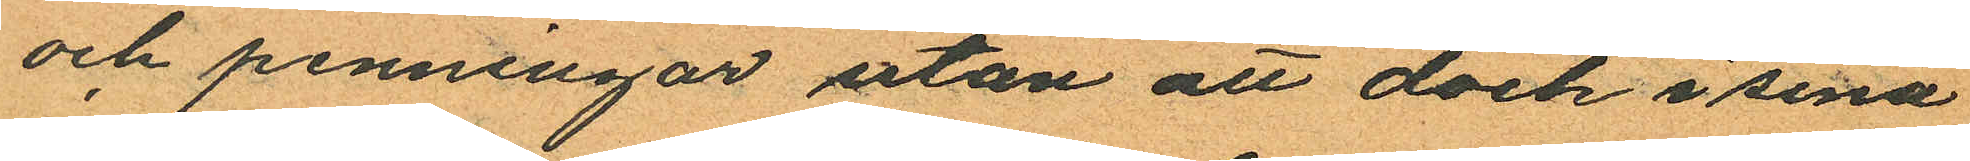och penningar utan att dock i sina
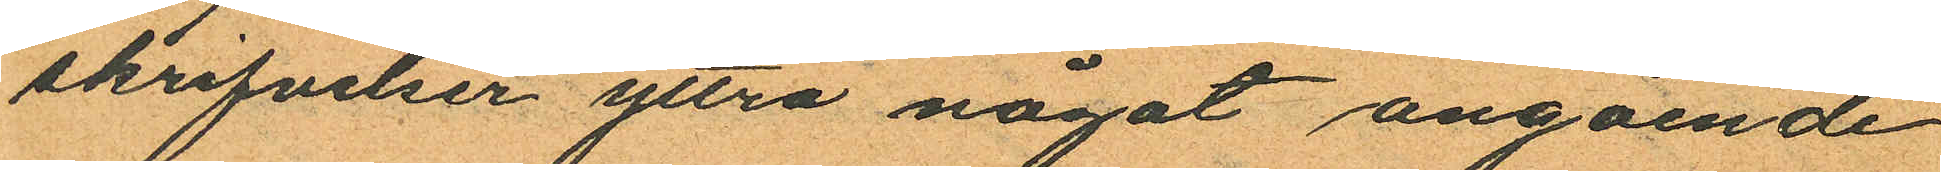skrifvelser yttra något angående
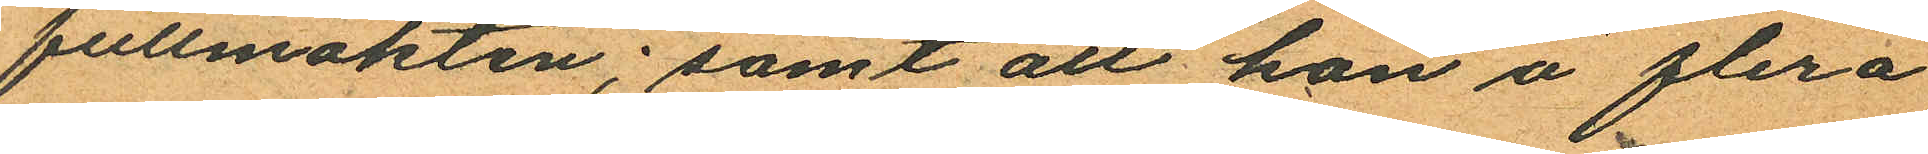fullmakten; samt att hon å flera
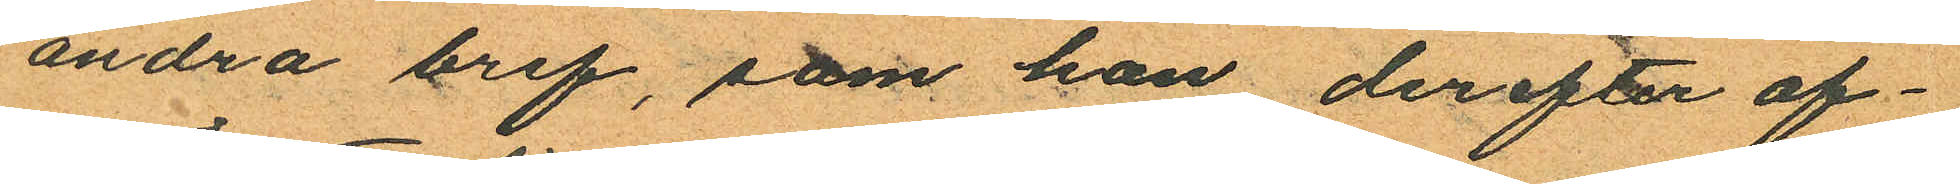andra bref, som hon derefter af¬
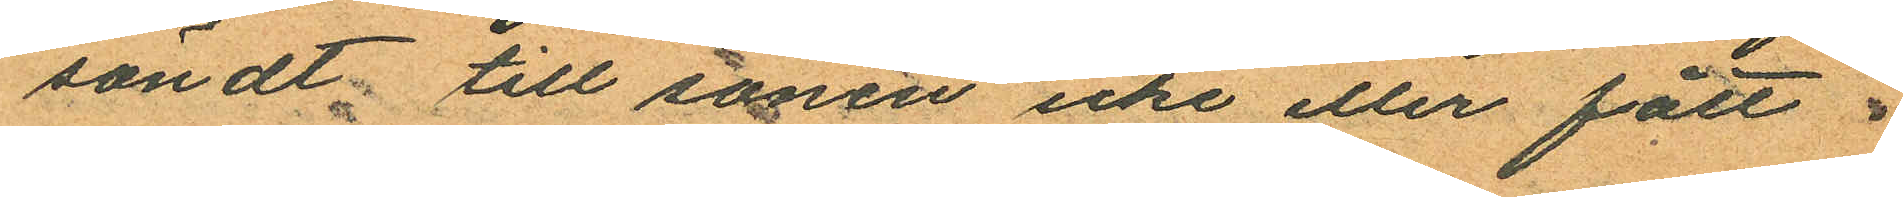sändt till sonen icke eller fått
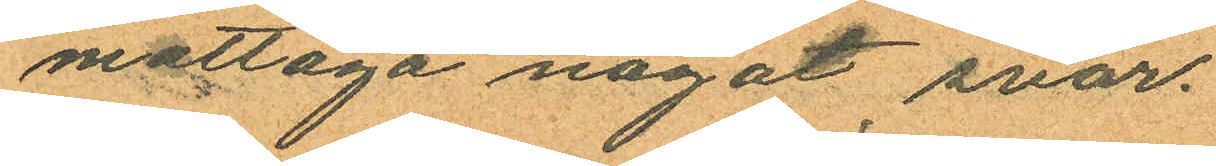mottaga något svar.
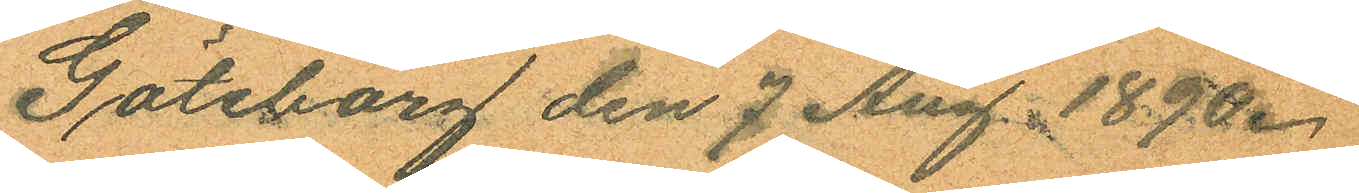Göteborg den 7 Aug. 1890.
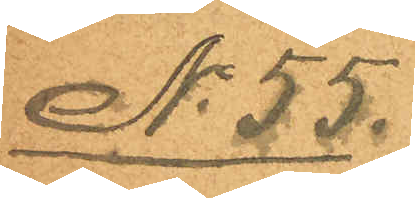No 55.
